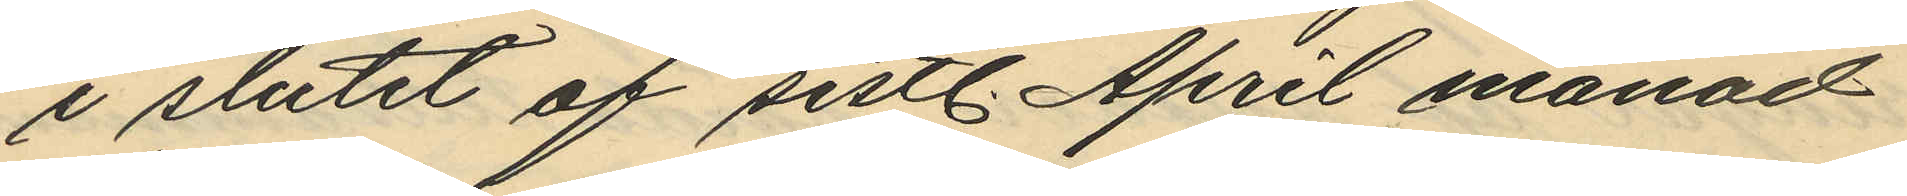i slutet af sistl. April månad
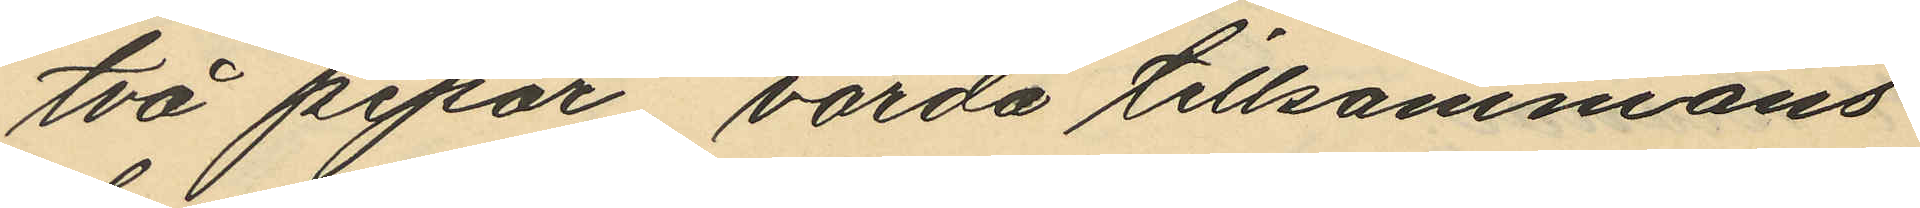två pipor, värda tillsammans
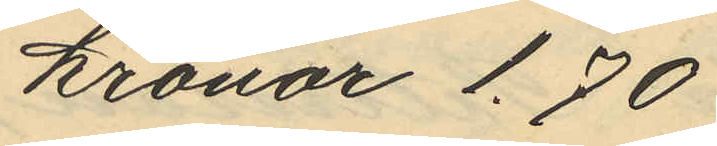kronor 1.70
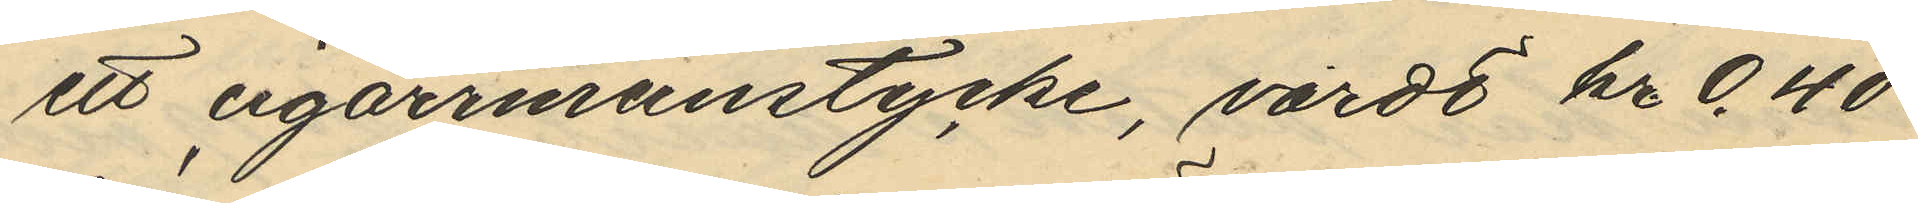ett cigarrmunstycke, värde kr 0.40
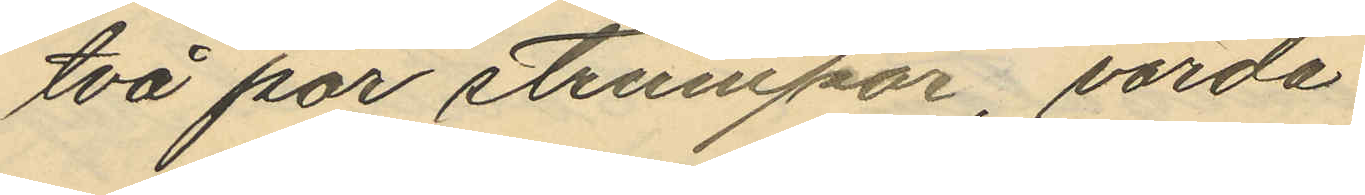två par strumpor, värda
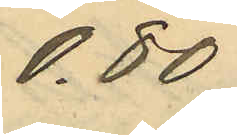0,80
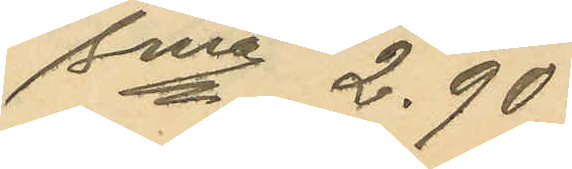sma 2.90
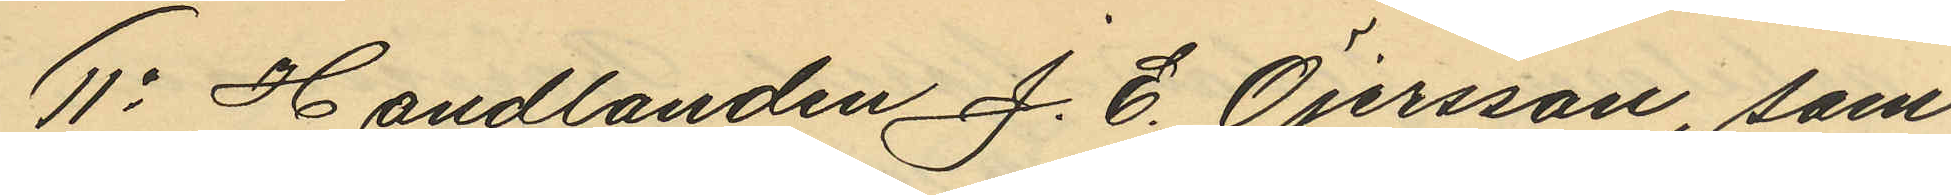11o Handlanden J. E. Öjersson, som
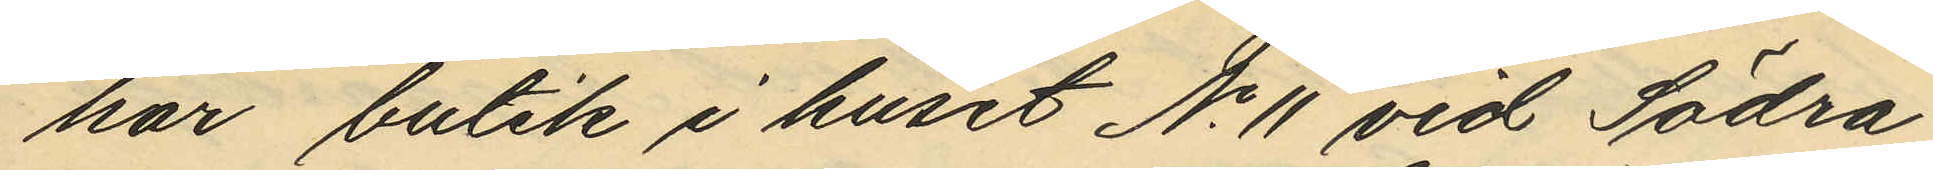har butik i huset No 11 vid Södra
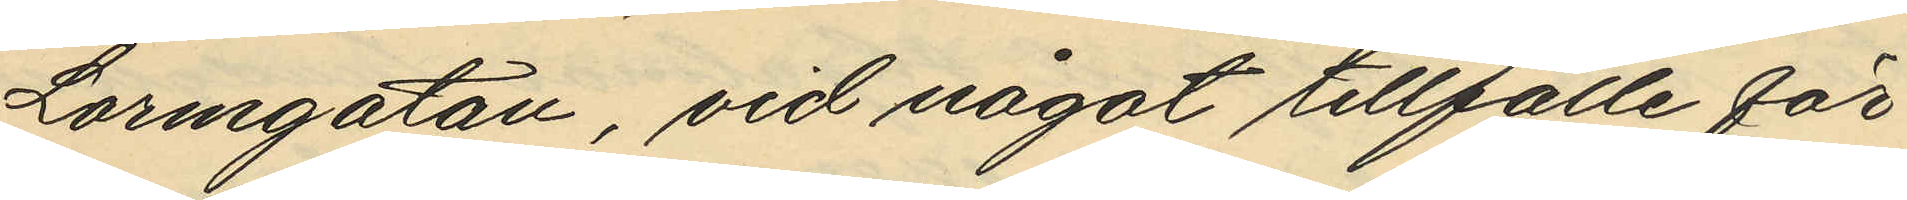Larmgatan, vid något tillfälle för
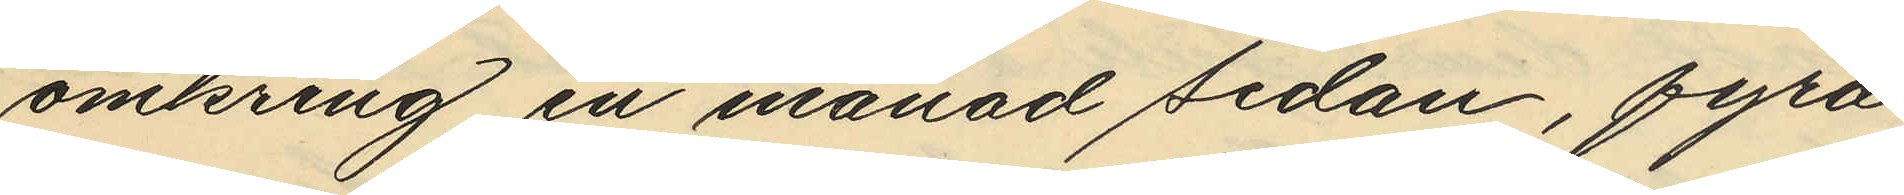omkring en månad sedan, fyra
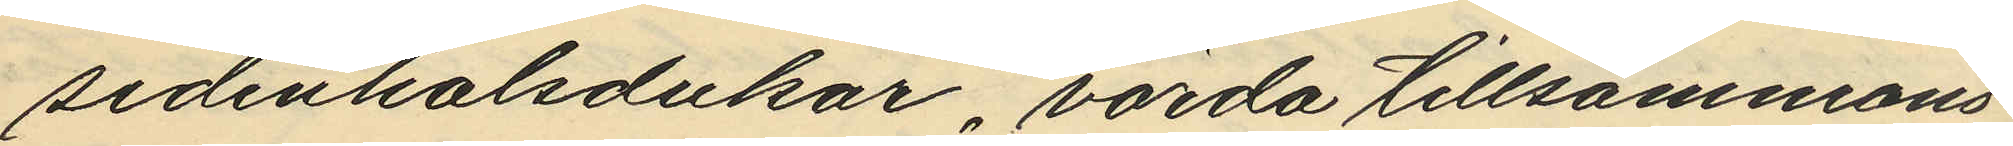sidenhalsdukar, värda tillsammans
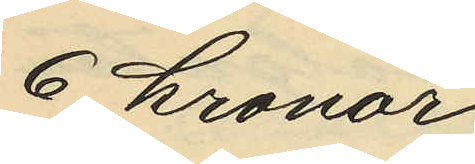6 kronor.
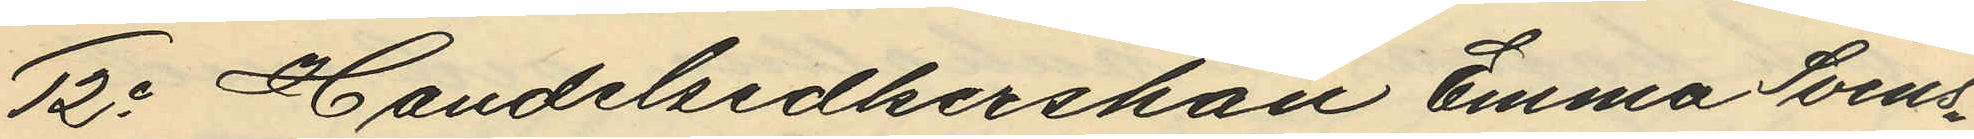12o Handelsidkerskan Emma Svens¬
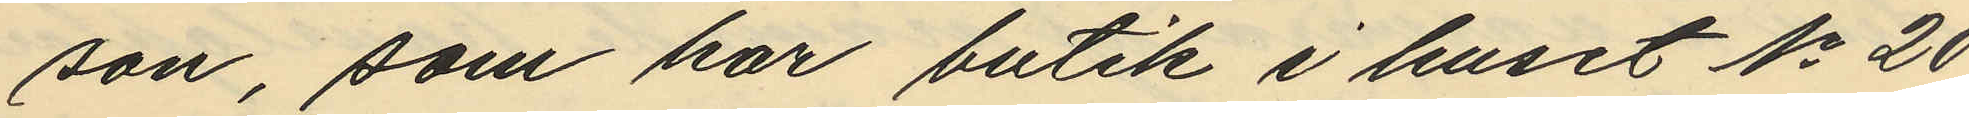son, som har butik i huset No 20
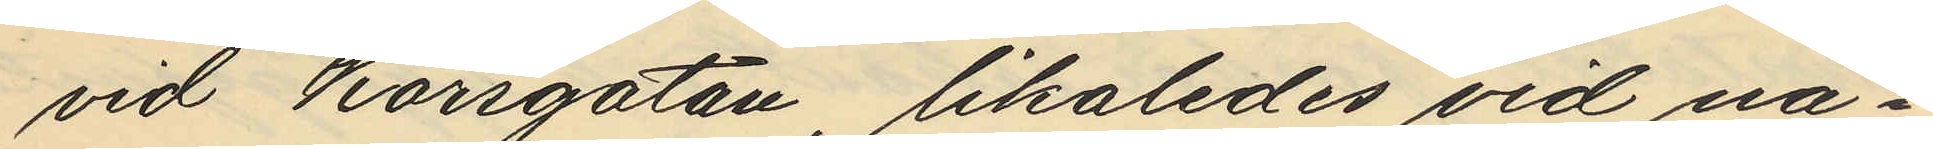vid Korsgatan likaledes vid nå¬
